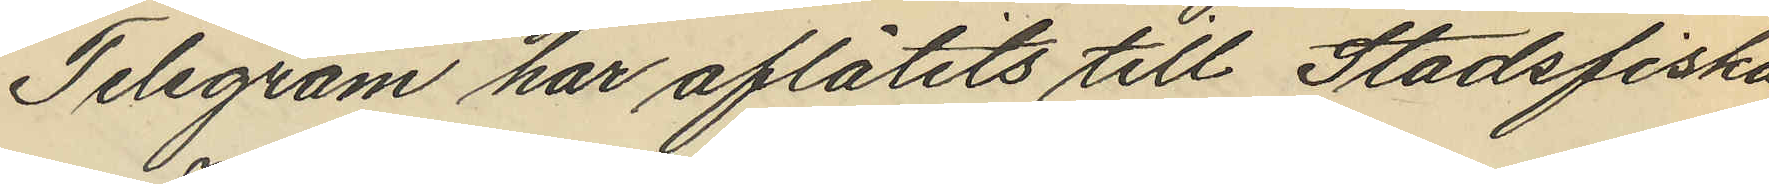Telegram har aflåtits till Stadsfiska¬
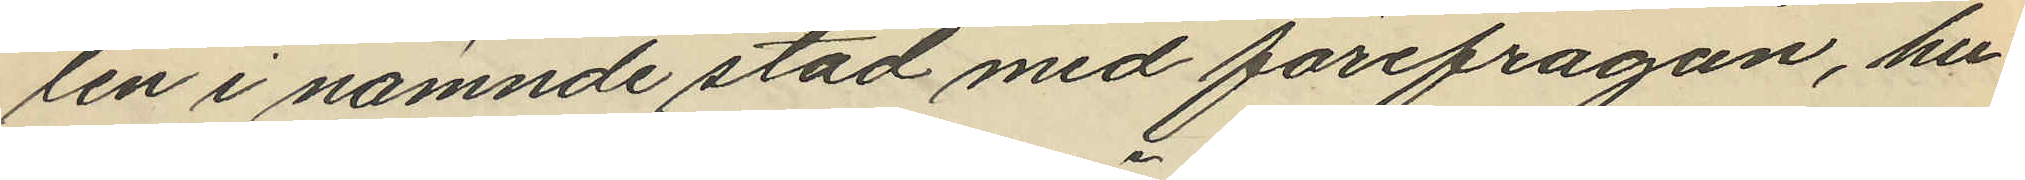len i nämnde stad med förefrågan, hu¬
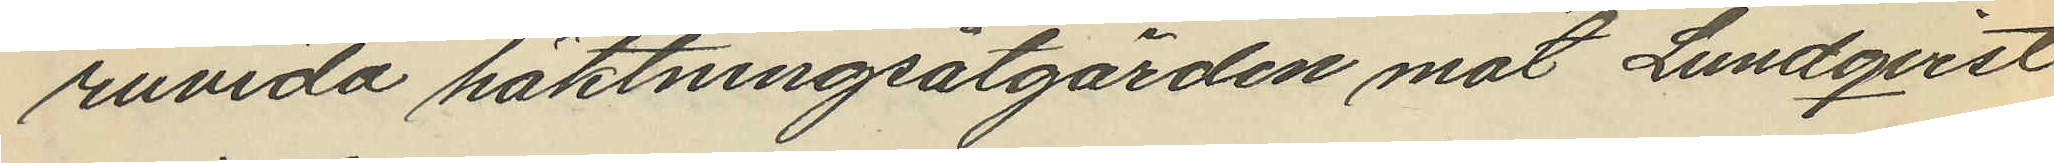ruvida häktningsåtgärden mot Lundqvist
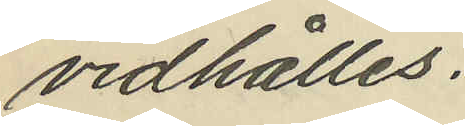vidhålles.
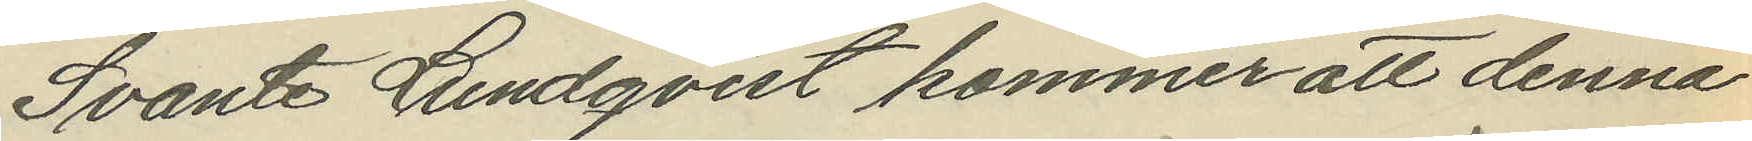Svante Lundqvist kommer att denna
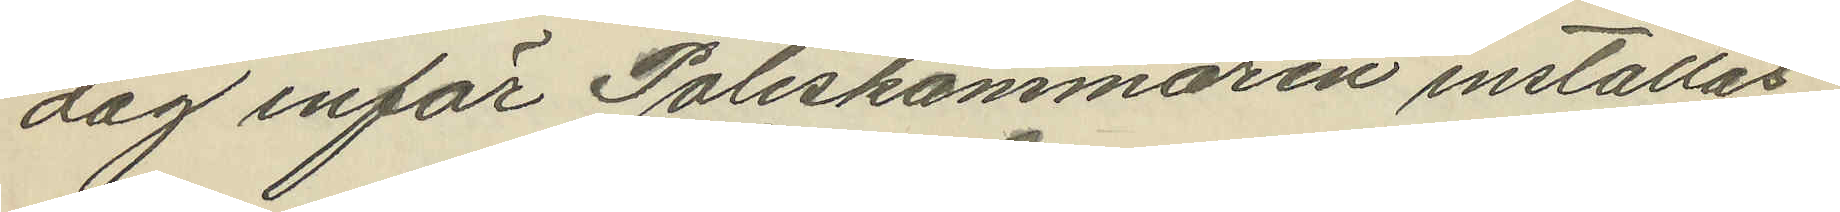dag inför Poliskammaren inställas.
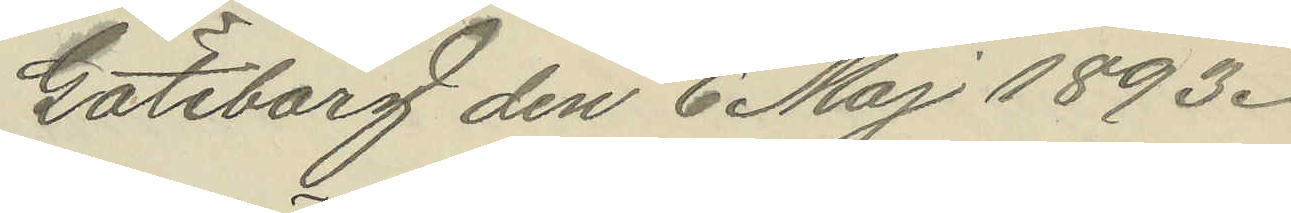Göteborg den 6 Maj 1893.
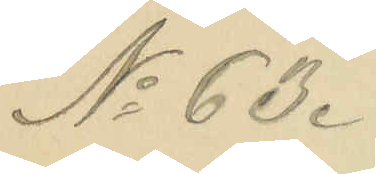No 63.
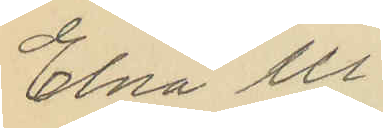Elna Ul¬
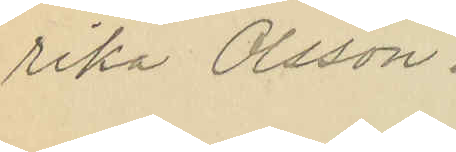rika Olsson.
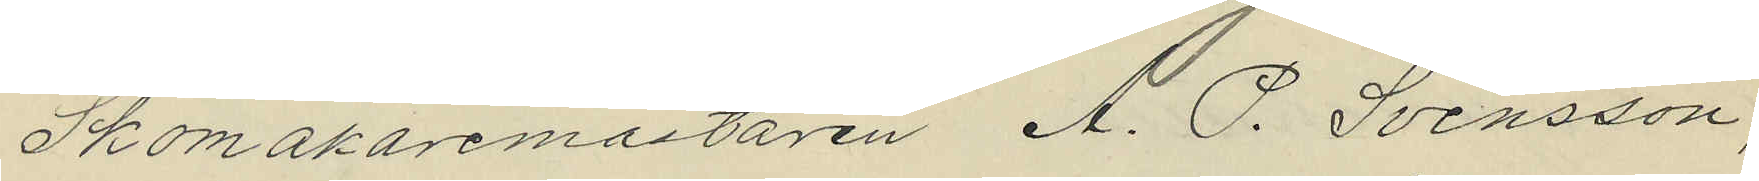Skomakaremästaren A. P. Svensson,
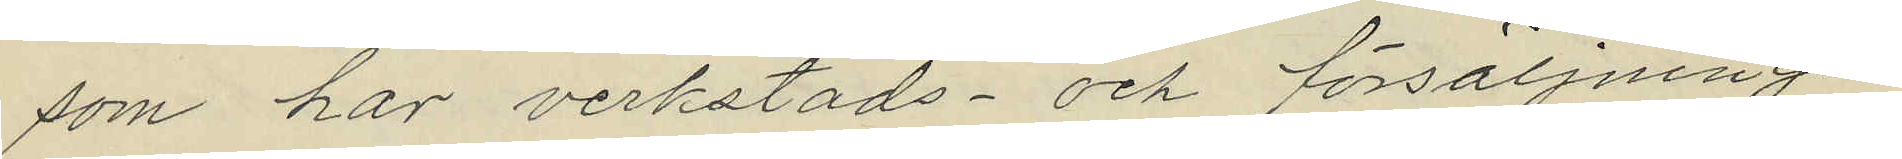som har verkstads- och försäljnings¬
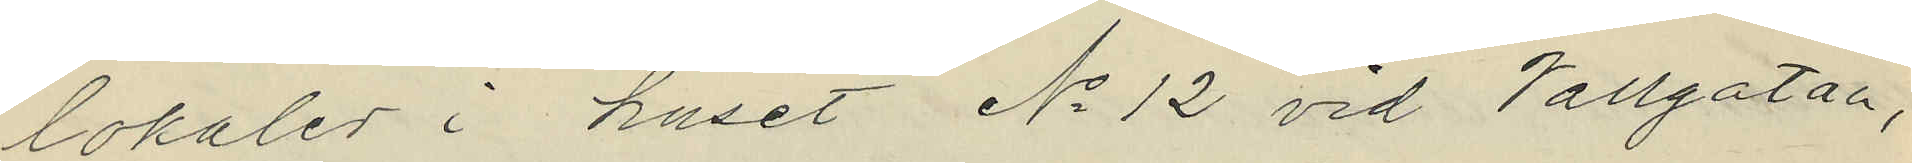lokaler i huset No 12 vid Vallgatan,
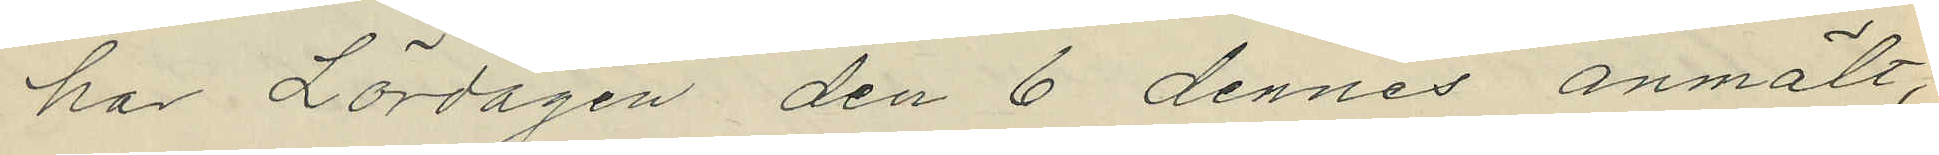har Lördagen den 6 dennes anmält,
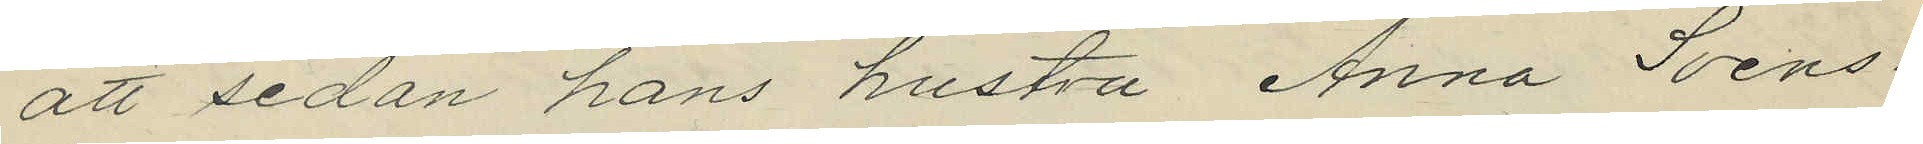att sedan hans hustru Anna Svens¬
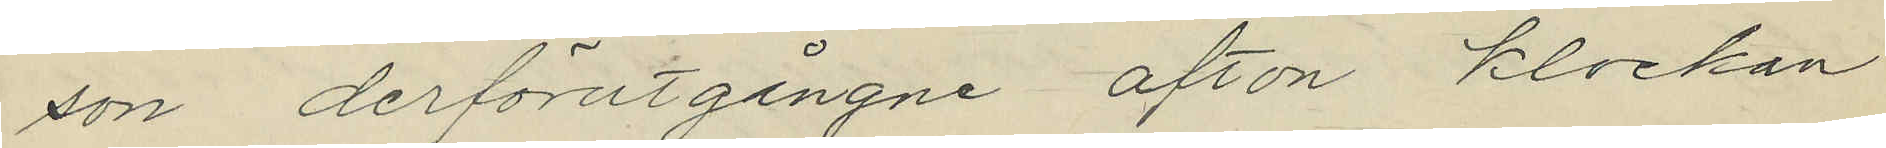son derförutgångne afton klockan
